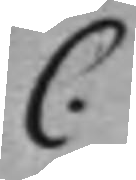C.
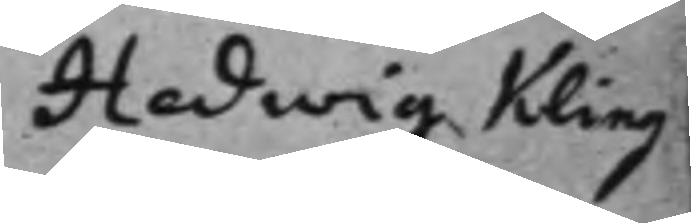Hedwig Kling¬
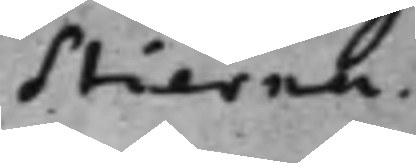Stierna.
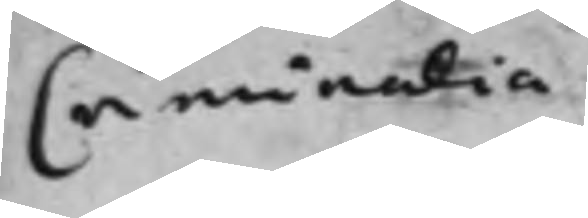Criminalia
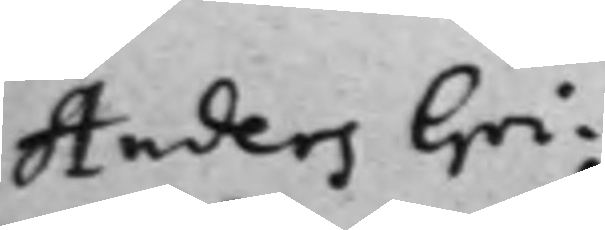Anders Gri¬
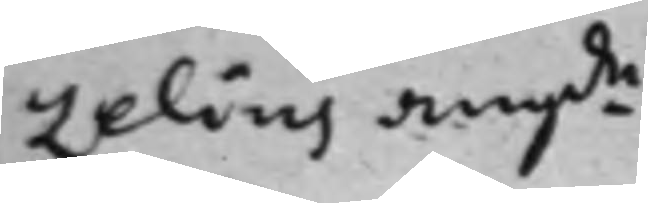zelius ang.de
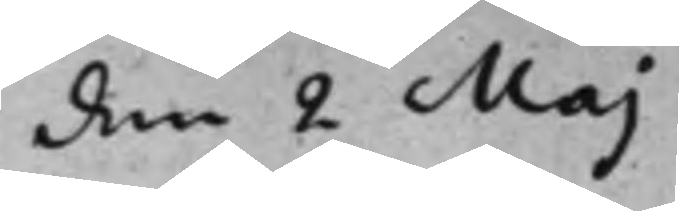den 2 Maj
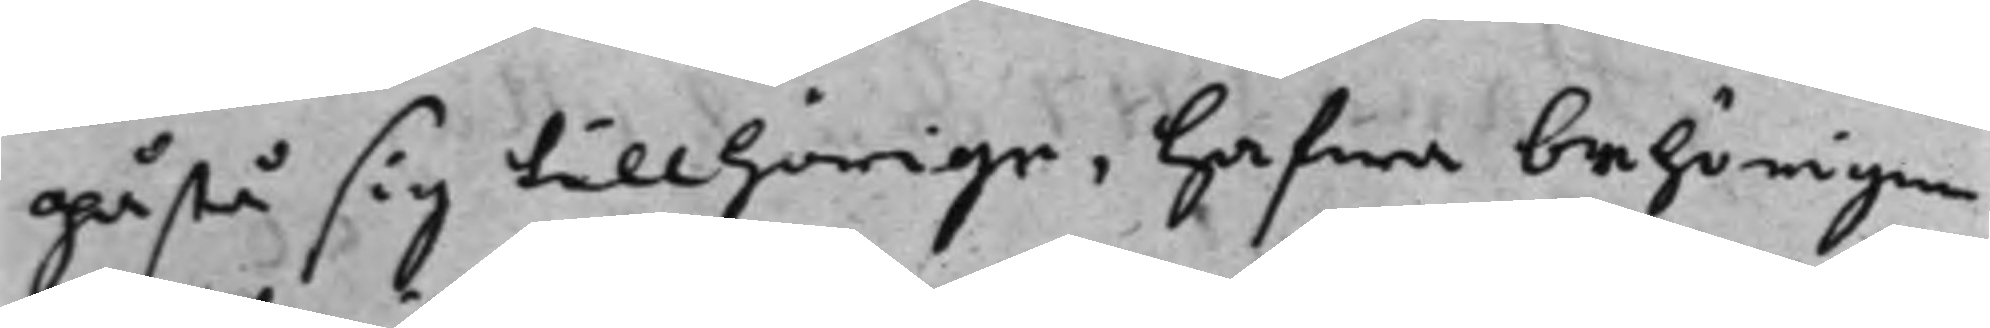påstå sig tillhörige, hafwa behörigen
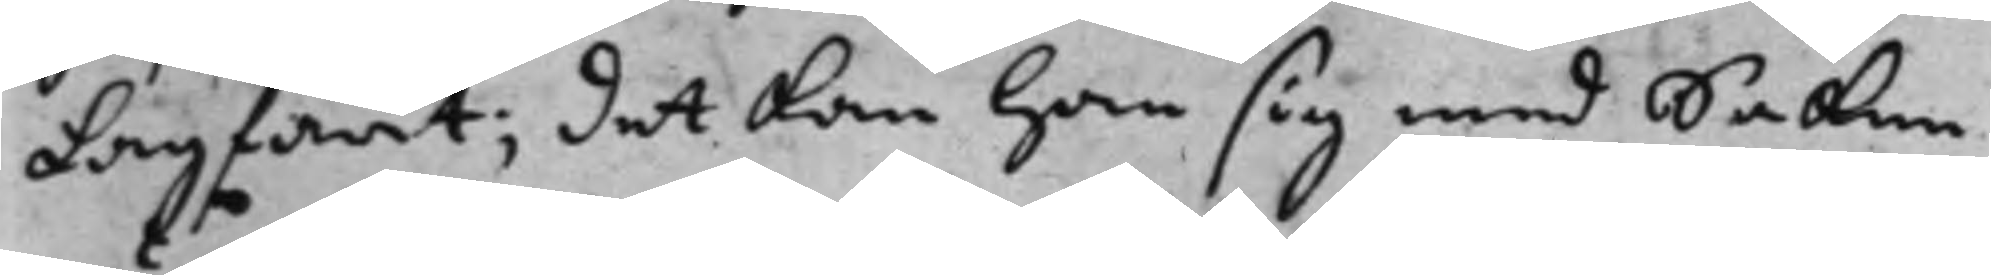Lagfört; det kan han sig med Saken
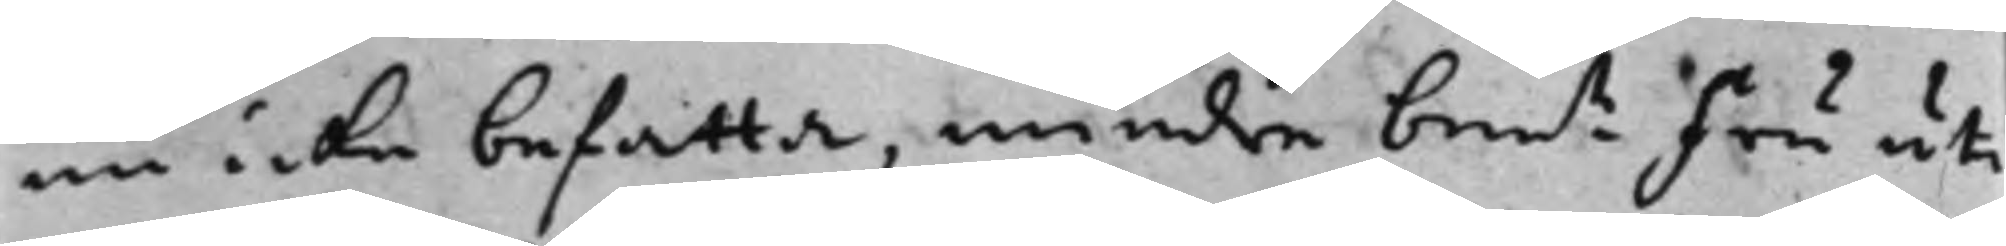nu icke befatta, mindre bem.te Fru uti
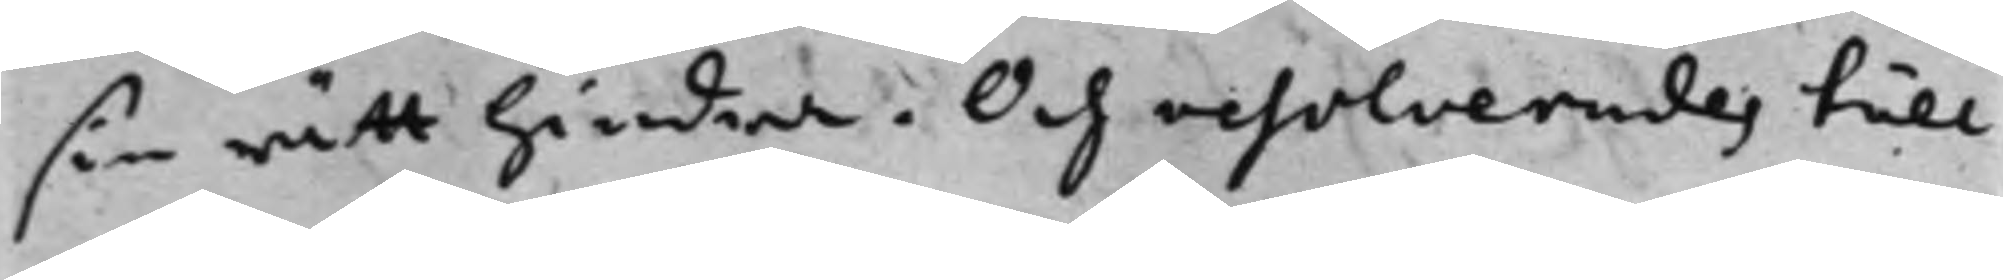sin rätt hindra. Och resolverades till
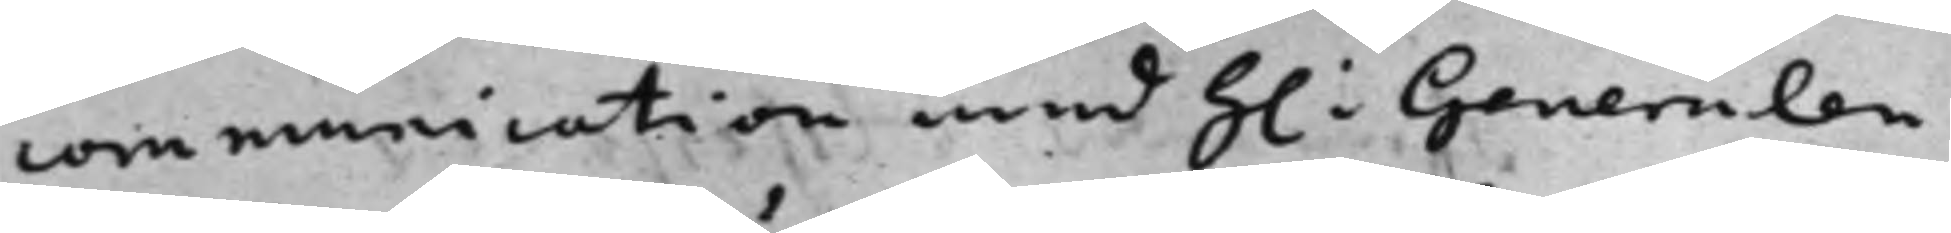communication med h.r Generalen
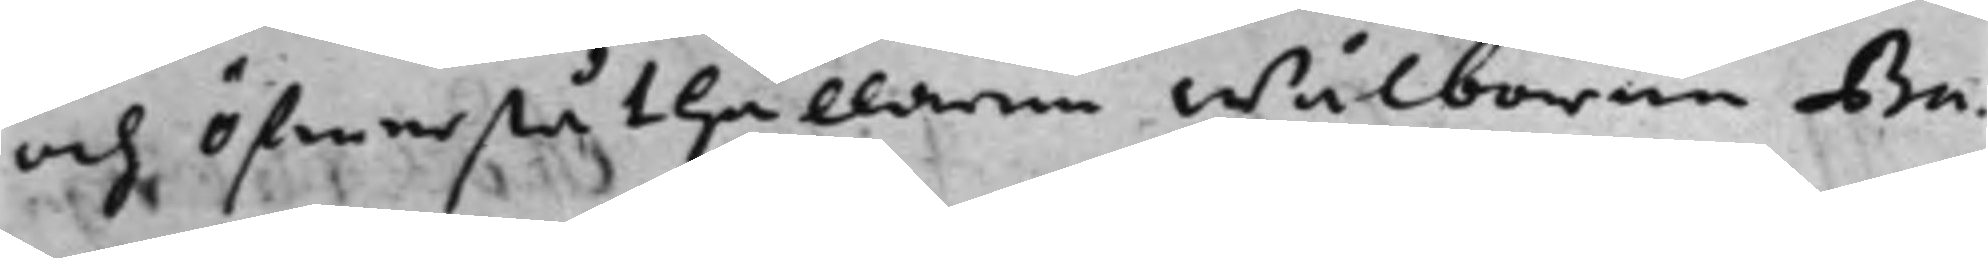och Öfwerståthållaren Wälborne Ba¬
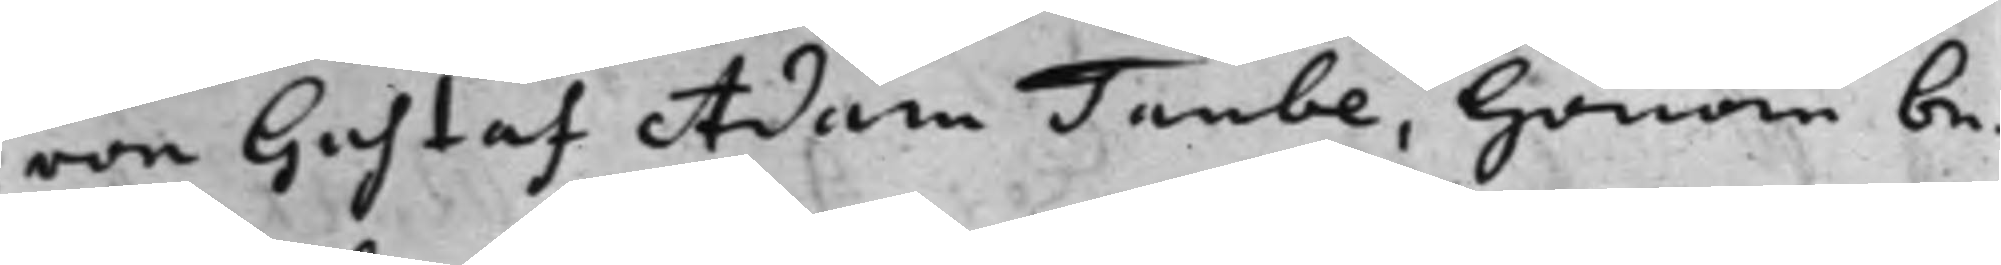ron Gustaf Adam Taube, honom be¬
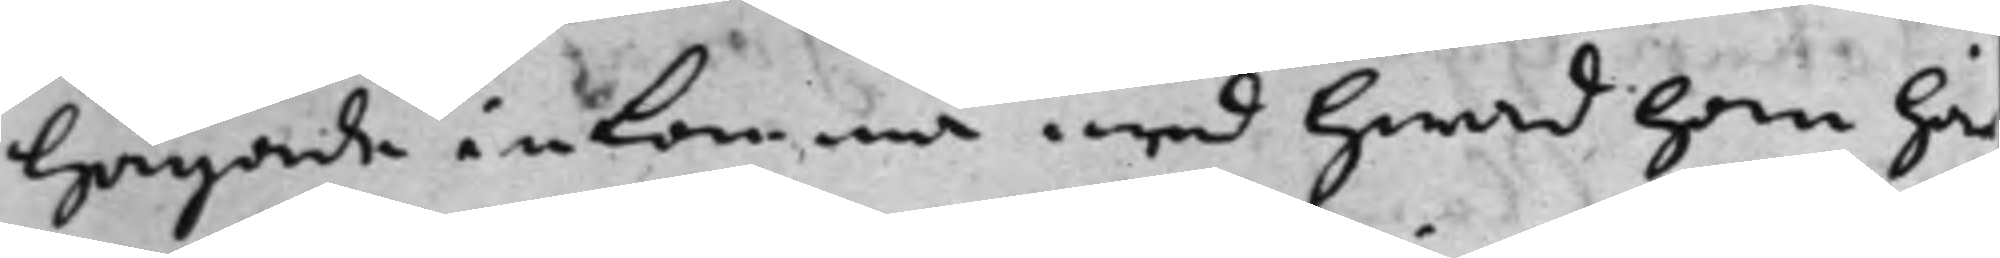hagade inkomma med hwad han här
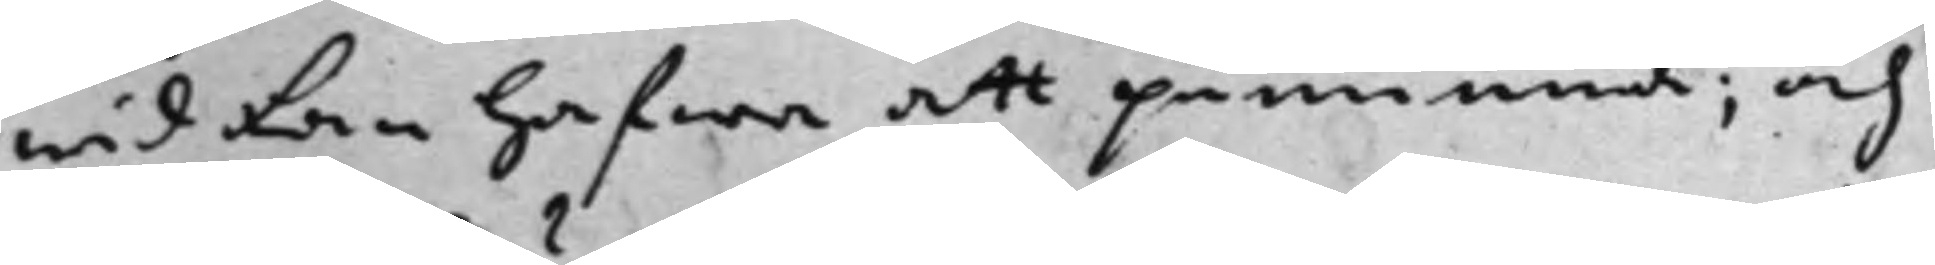wid kan hafwa att påminna; och
